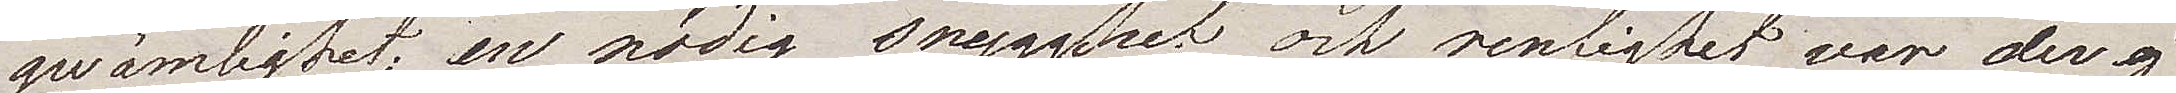qwämlighet, en nödig snygghet och renlighet var der ej
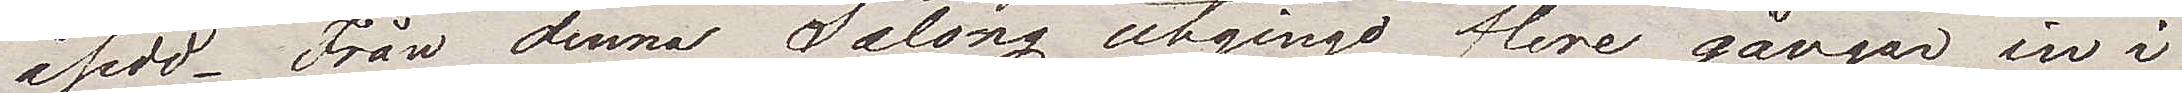åsedd. Från denna Salong utgingo flere gångar in i
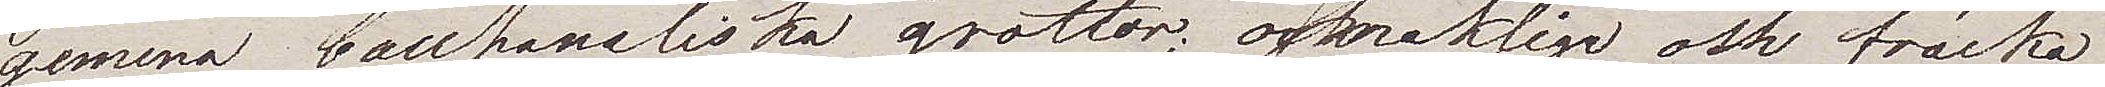gemena bacchanaliska grottor; osmakliga och fräcka
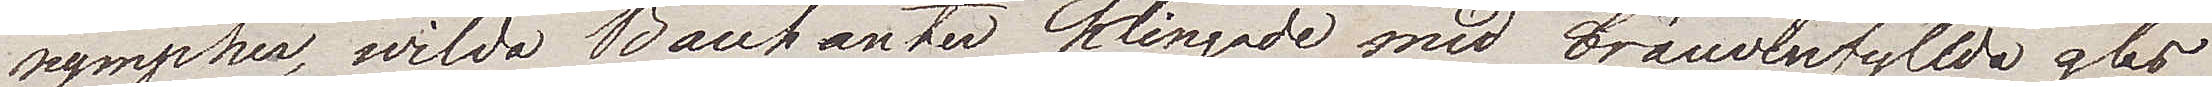nympher, wilda Bacchanter klingade med brännwinfyllda glas
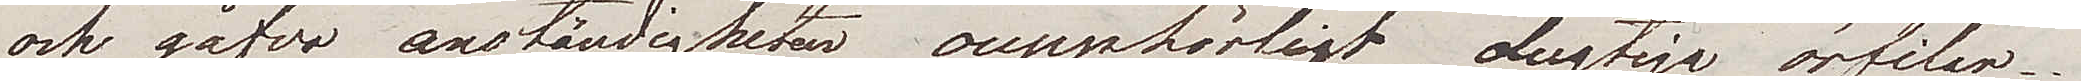och gåfvo anständigheten oupphörligt dugtiga örfilar.
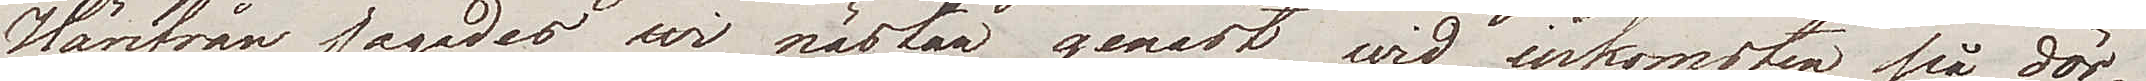Härifrån jagades wi nästan genast wid inkomsten på dör¬
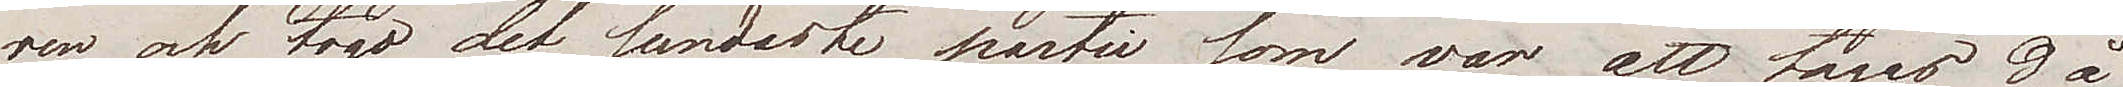ren och togo det sundaste parti som var att tagas då
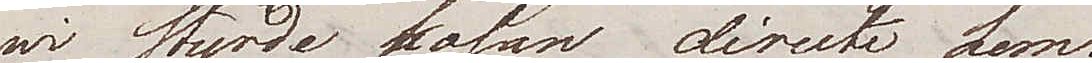wi flydde kosan directe hem.
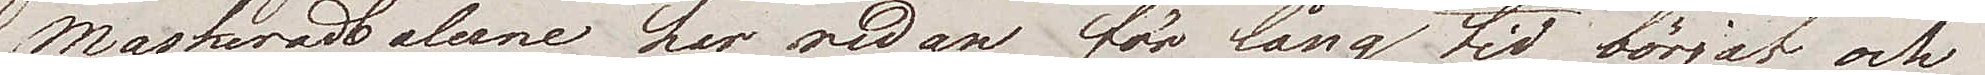Maskeradbalerne har redan för lång tid börjat och
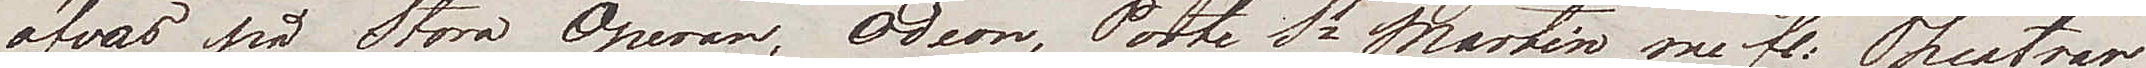öfvas på Stora Operan, Odeon, Porte St Martin m fl: Theatrar
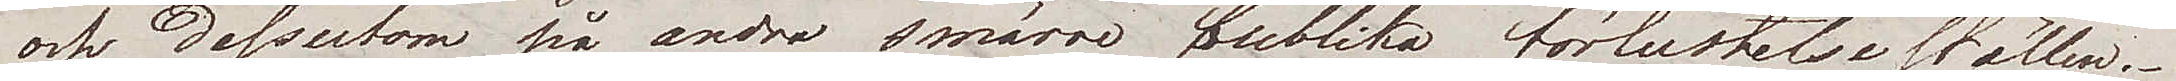och dessutom på andra smärre publika förlustelseställen.
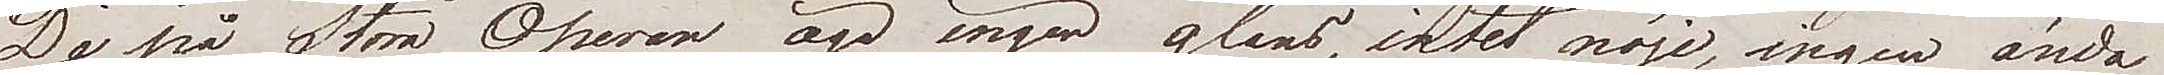De på Stora Operan äger ingen glans, intet nöje, ingen ända¬
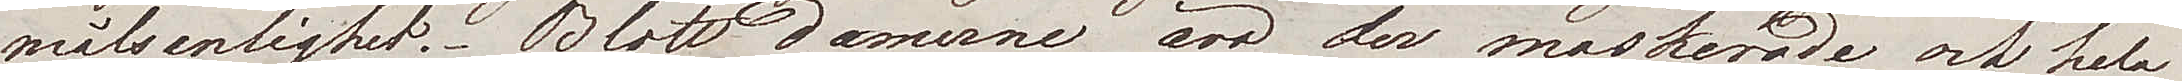målsenlighet. Blott damerne äro der maskerade och hela
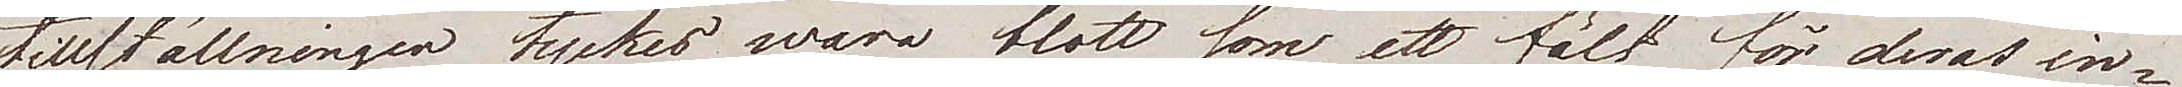tillställningen tyckes wara blott som ett fält för deras in¬
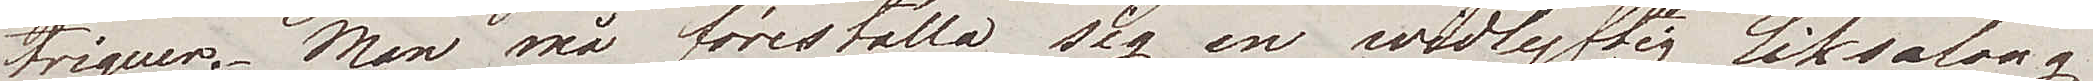triguer. Man må föreställa  sig en widlyftig liksalong
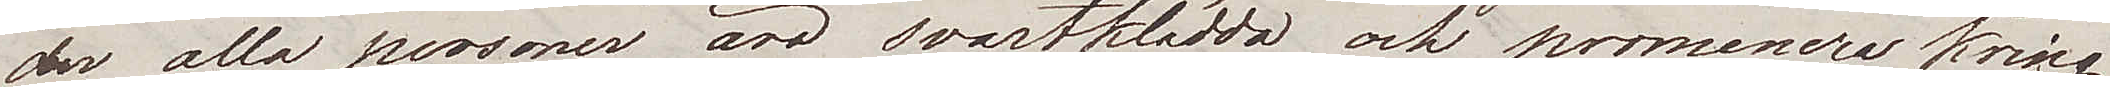der alla personer äro svartklädda och promenera kring
